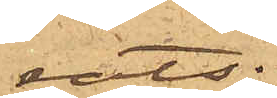rats;
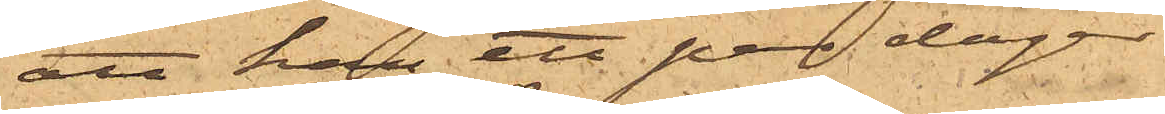att han ett par dagar
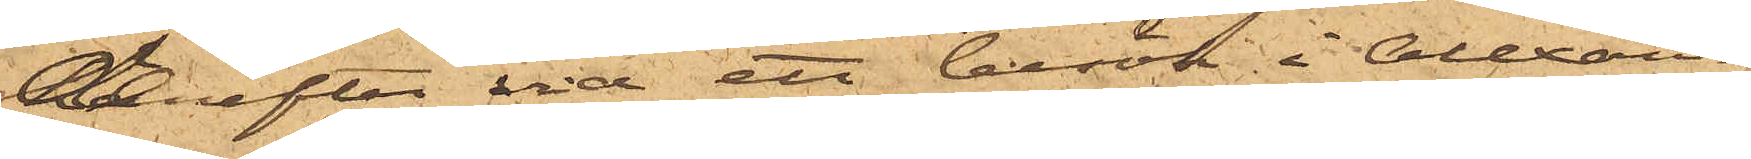derefter vid ett besök i Alexan¬
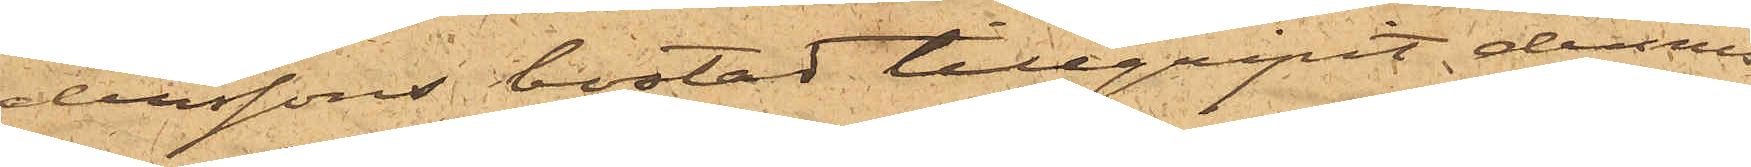derssons bostad tillgripit dennes
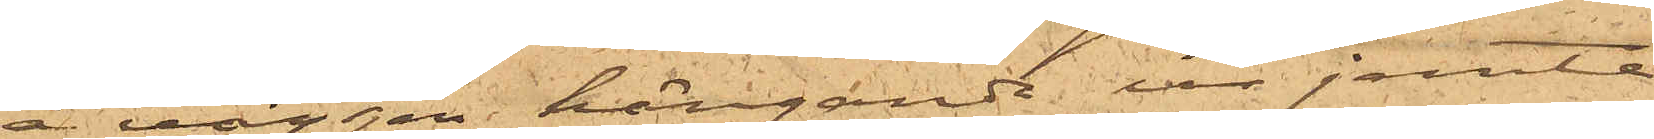å väggen hängande ur jemte
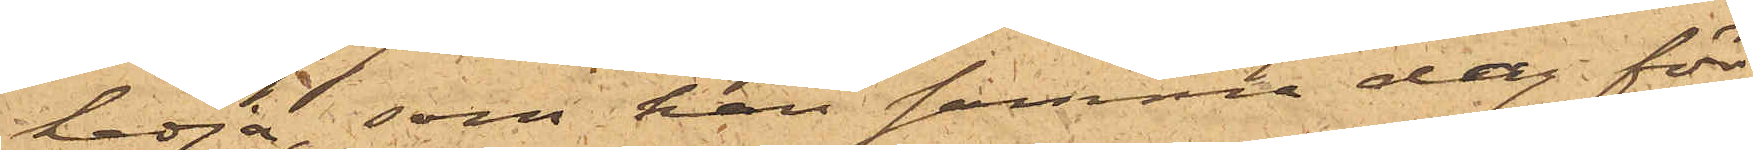kedja, som han samma dag för
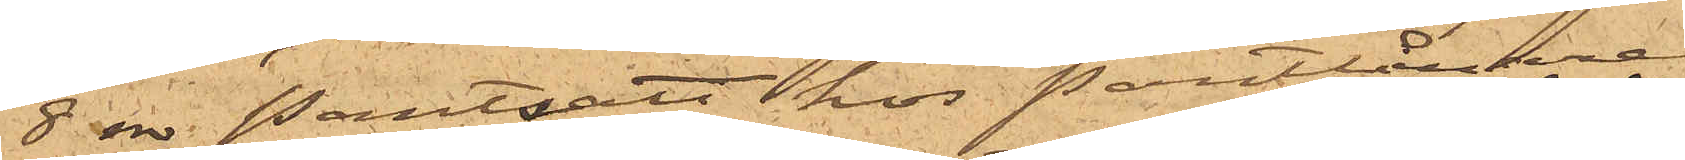8 rdr pantsatt hos Pantlånare
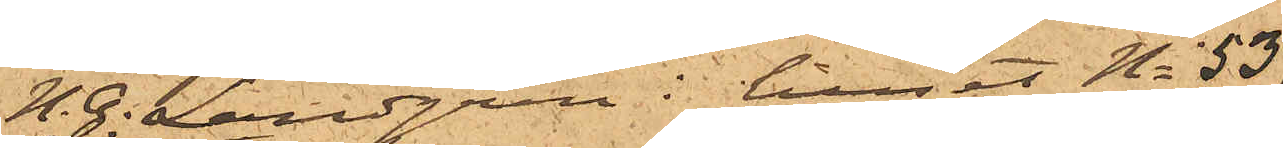H. G. Landgren i huset No 53
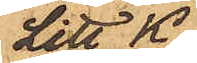Litt K
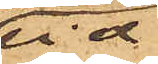vid
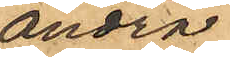Andra
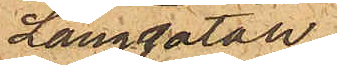Långgatan;
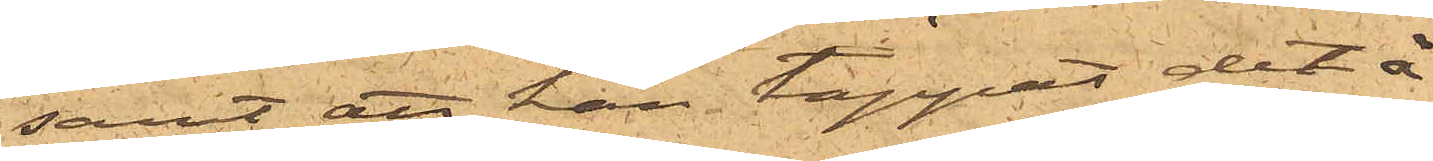samt att han tappat det å
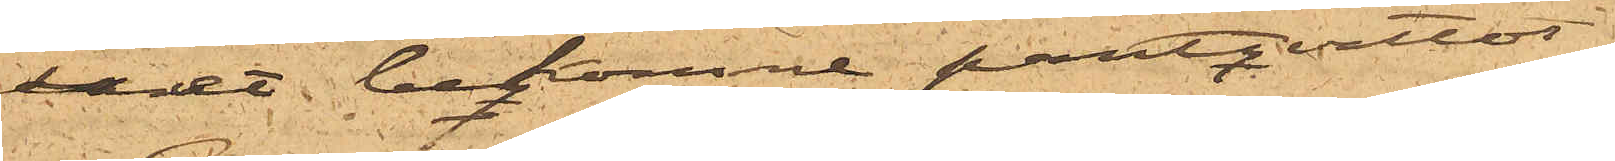uret bekomne pantqvittot.
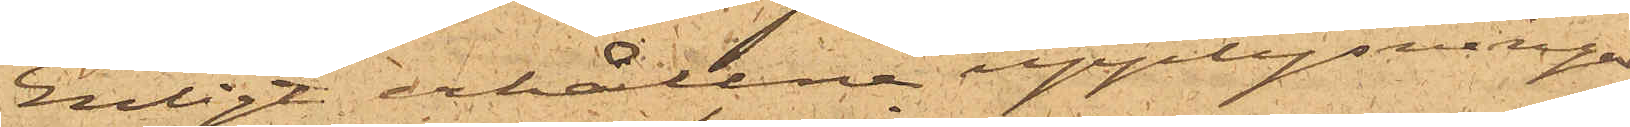Enligt erhållne upplysningar
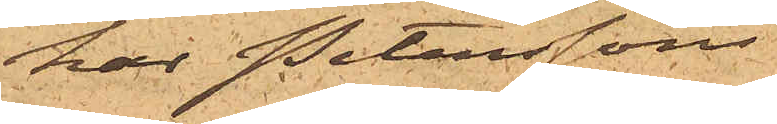har Peterssons
